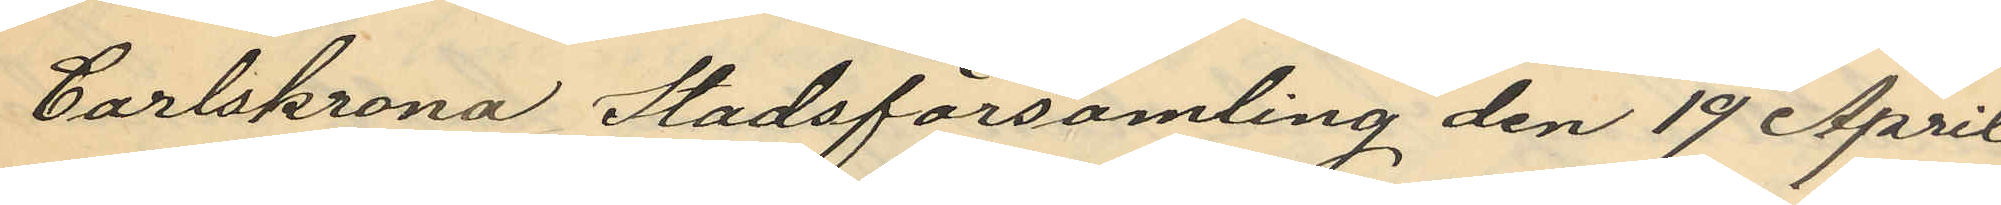Carlskrona Stadsförsamling den 19 April
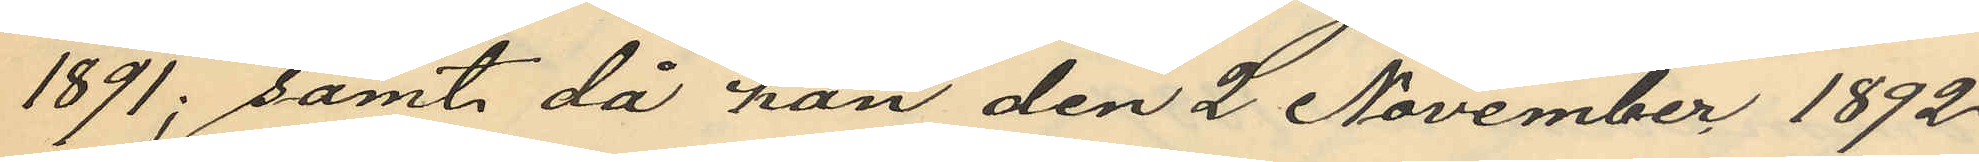1891; samt då han den 2 November 1892
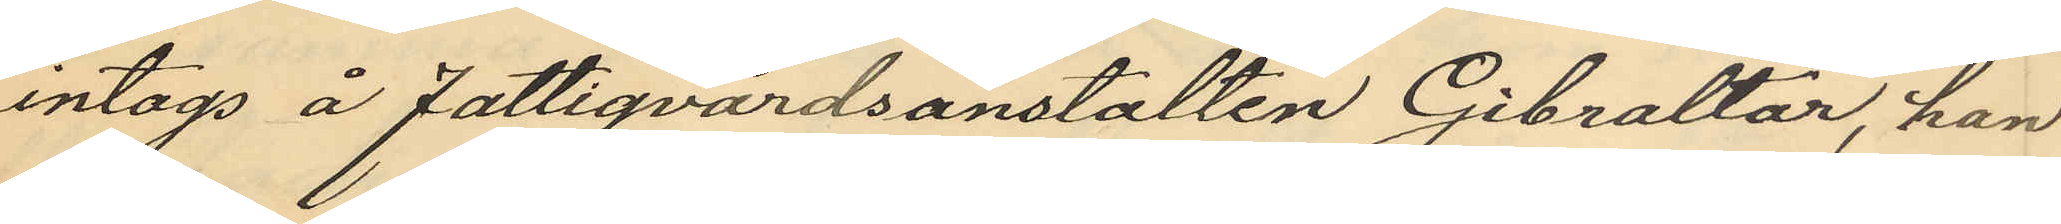intogs å Fattigvårdsanstalten Gibraltar, han
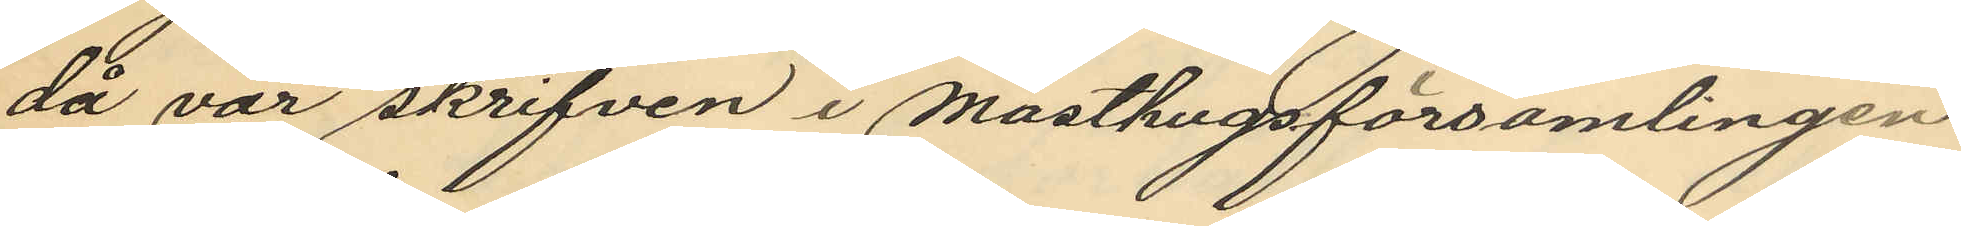då var skrifven i Masthuggsförsamlingen
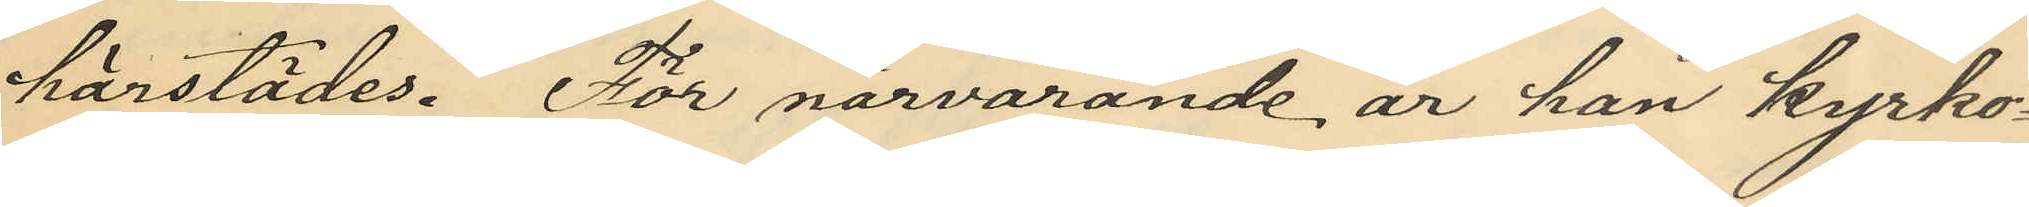härstädes. För närvarande är han kyrko¬
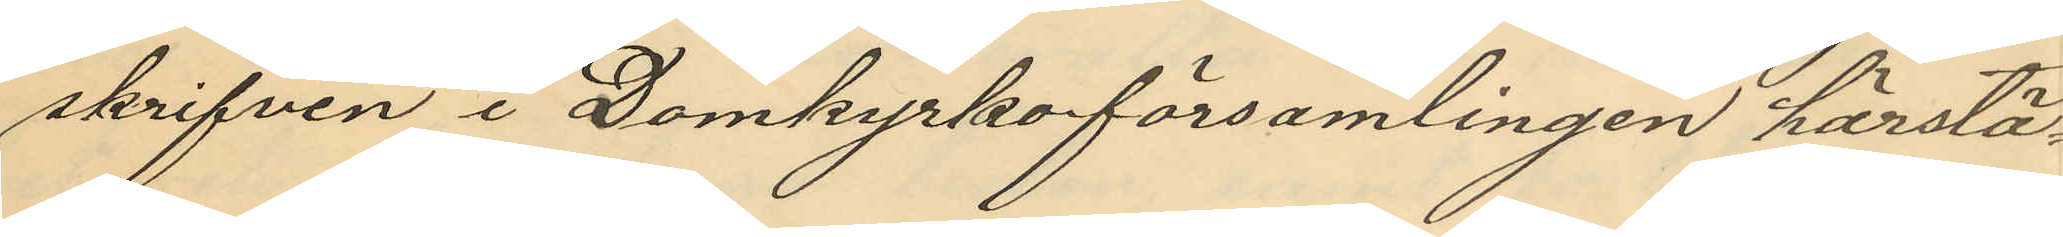skrifven i Domkyrkoförsamlingen härstä¬
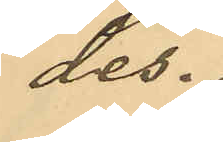des.
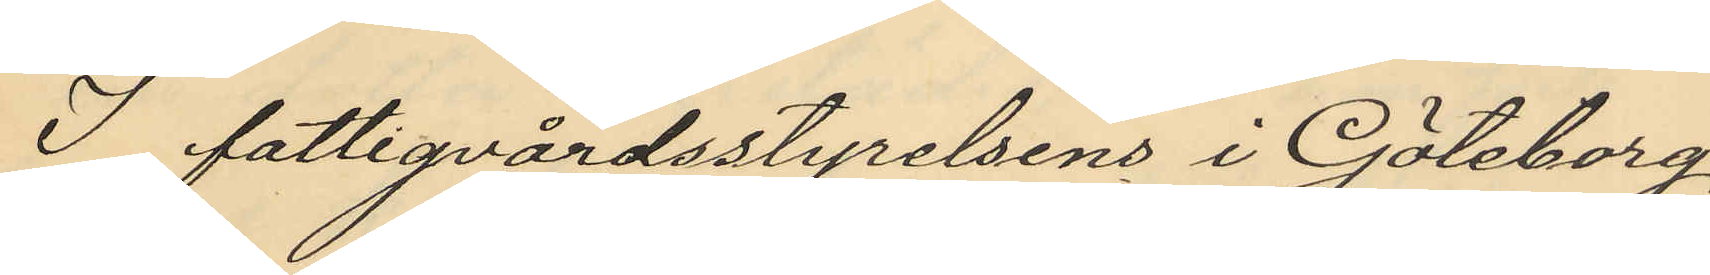I fattigvårdsstyrelsens i Göteborg
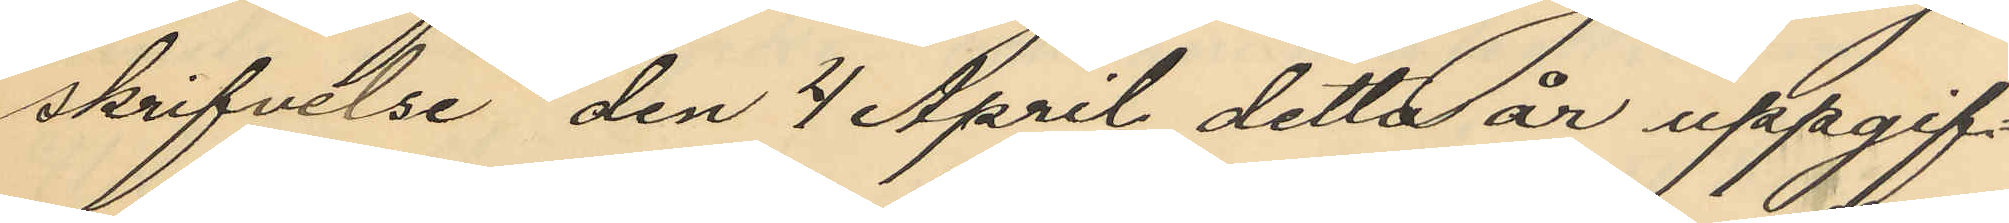skrifvelse den 4 April detta år uppgif¬
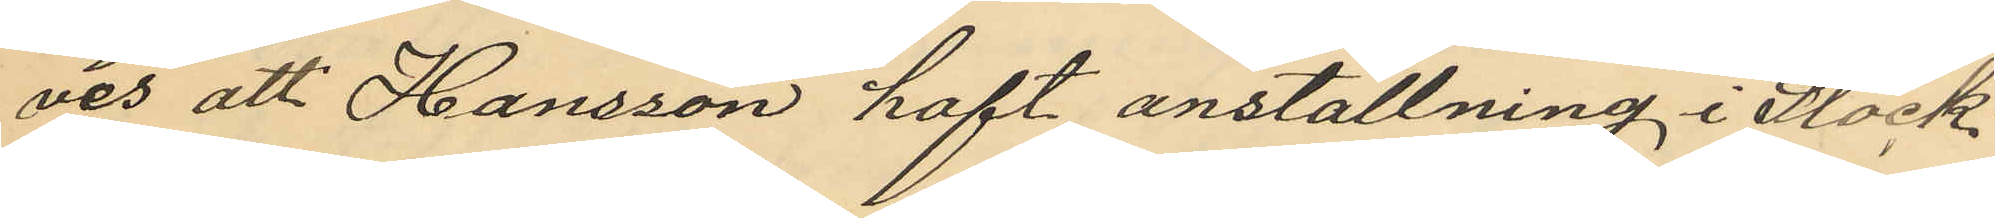ves att Hansson haft anställning i Stock¬
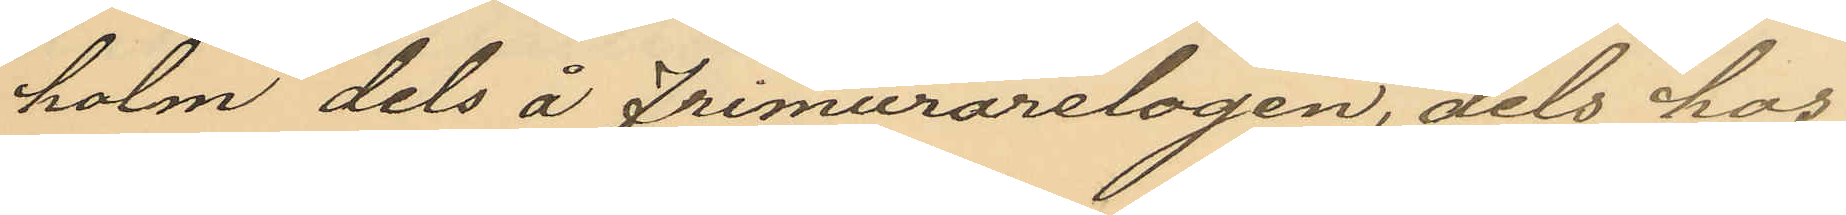holm dels å Frimurarelogen, dels hos
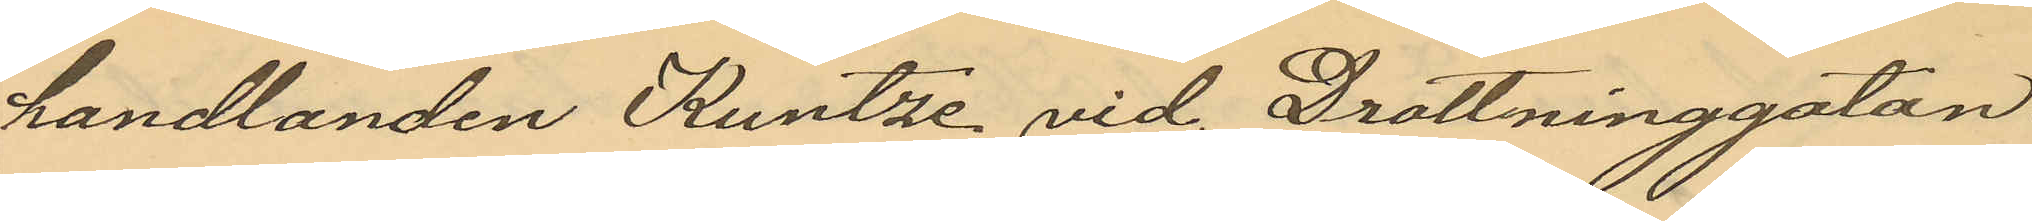handlanden Kuntze vid Drottninggatan
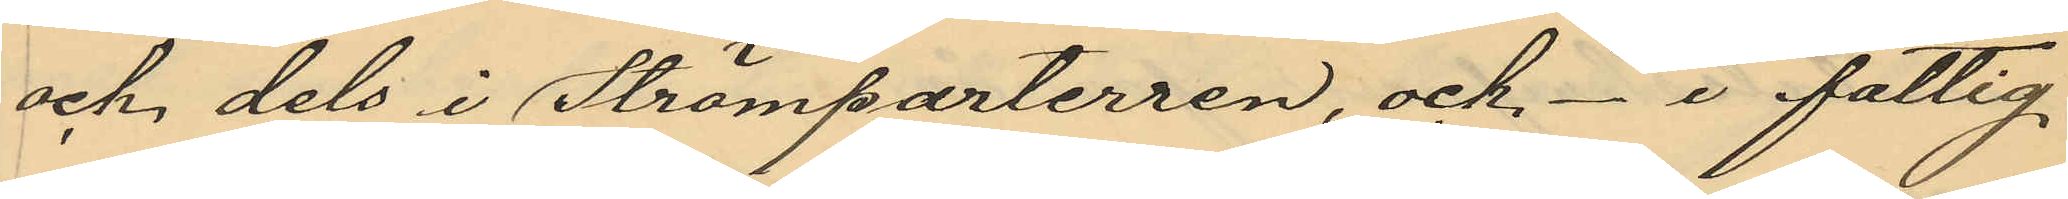och dels i Strömparterren, och i fattig¬
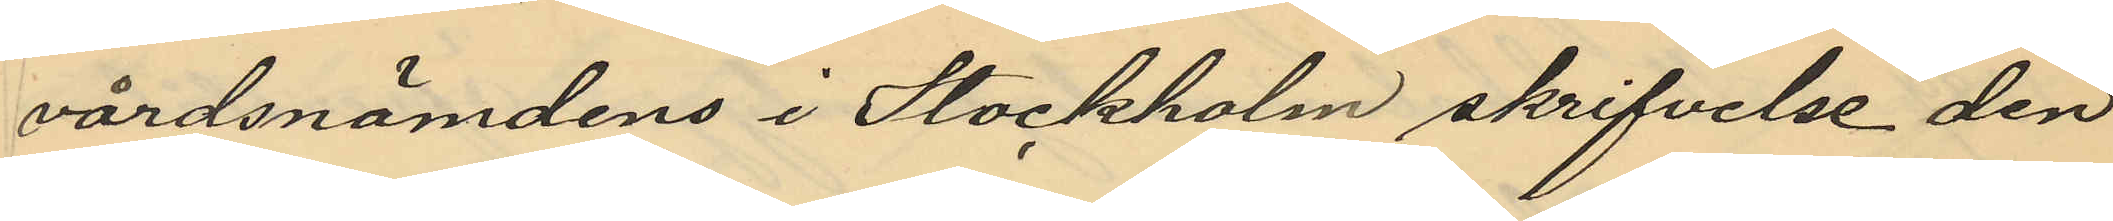vårdsnämndens i Stockholm skrifvelse den
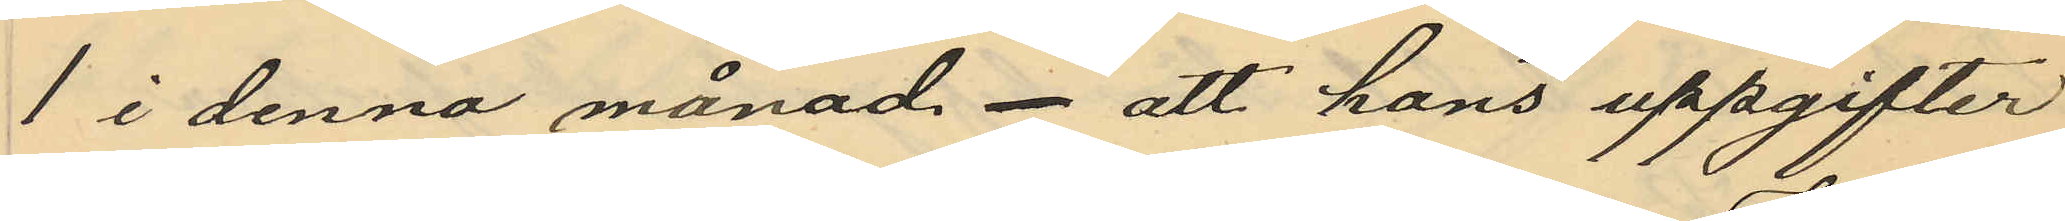1 i denna månad. att hans uppgifter
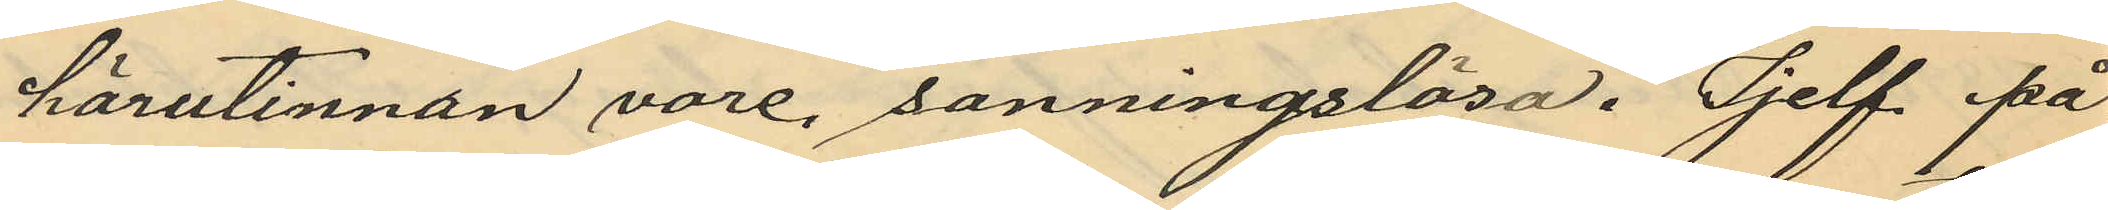härutinnan vore sanningslösa. Sjelf på¬
